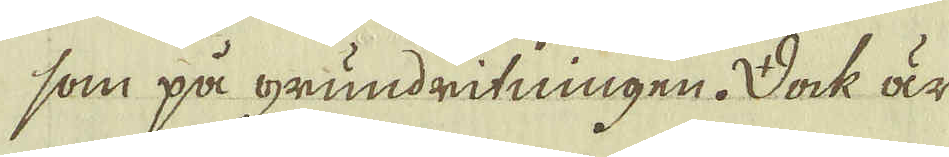som på grundritningen. Dock är
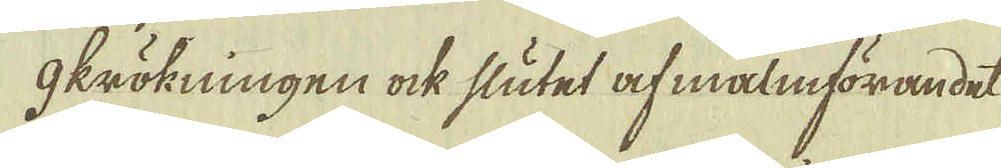g krökningen ock slutet af malmförandet
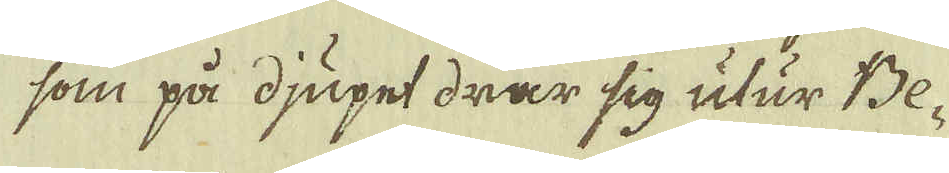som på djupet drar sig utur Be-
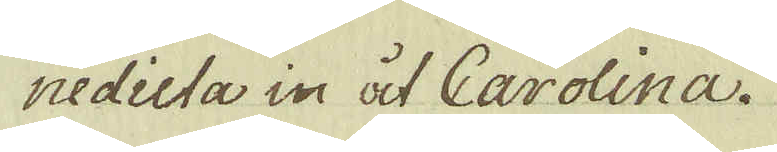nedicta in åt Carolina.
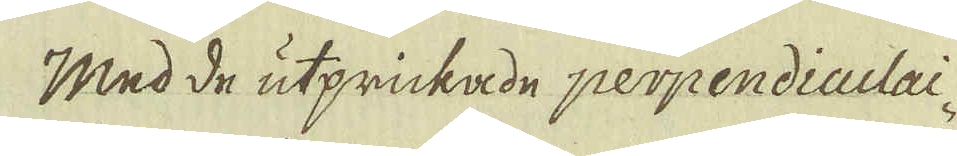Med de utprickade perpendiculai-
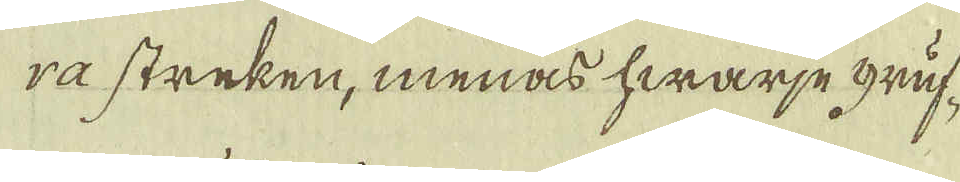ra streken, menas hwarje gruf-
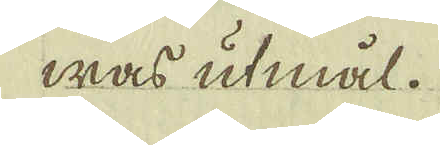was utmål.
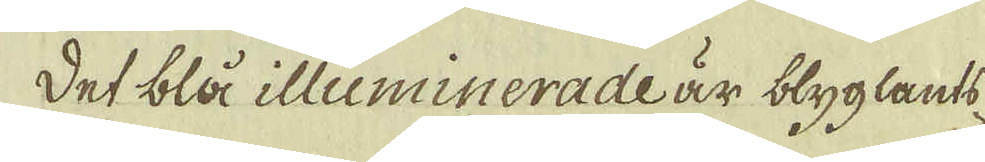Det blå illuminerade är blyglants-
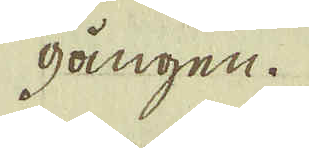gången.
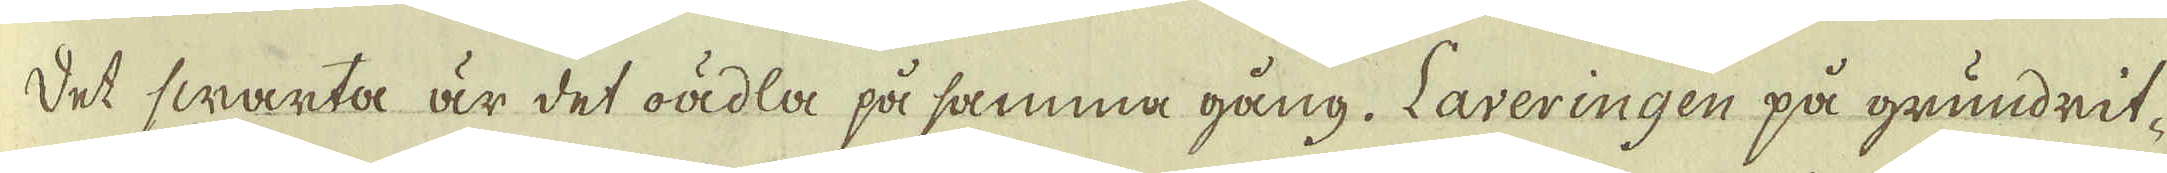Det swarta är det oädla på samma gång. Laveringen på grundrit-
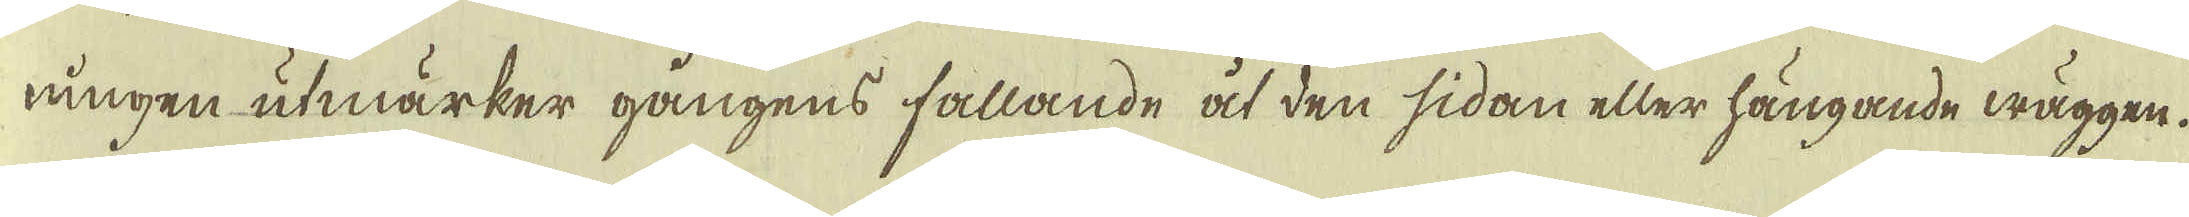ningen utmärker gångens fallande åt den sidan eller hängande wäggen.
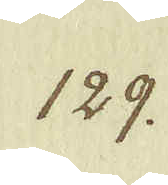129.
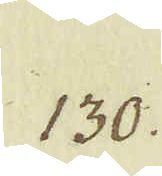130.
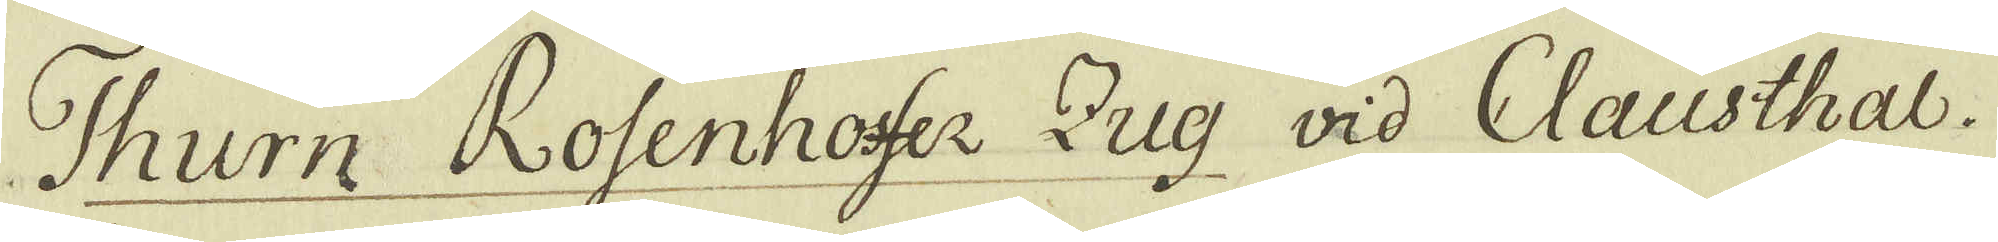Thurn Rosenhosfer Zug vid Clausthal.
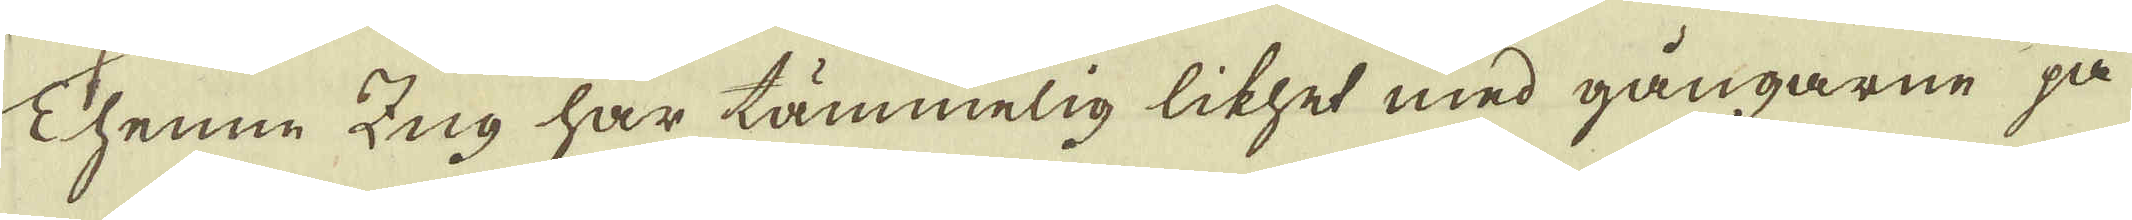Thenne Zug har tämmelig likhet med gångarne på
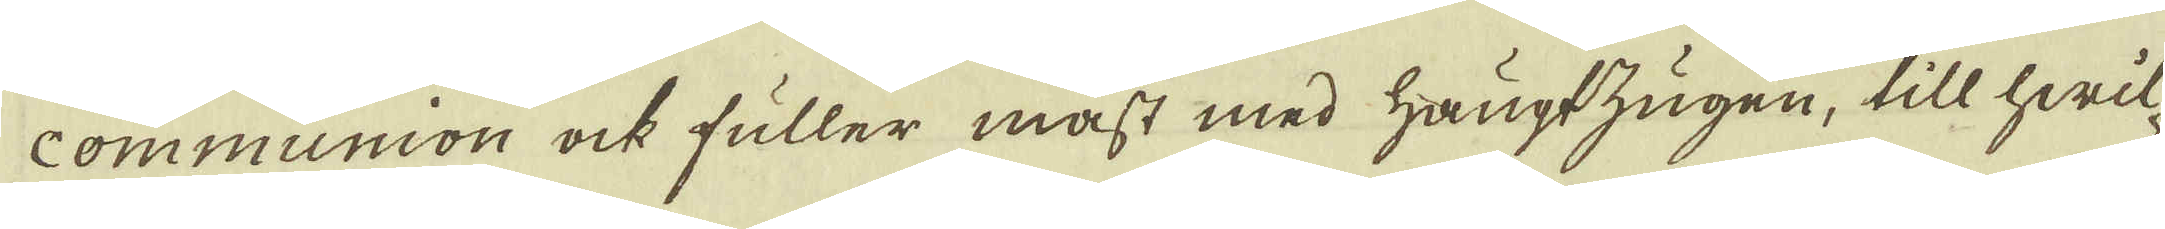communion ock fuller mäst med Haugtzugen, till hwil-
